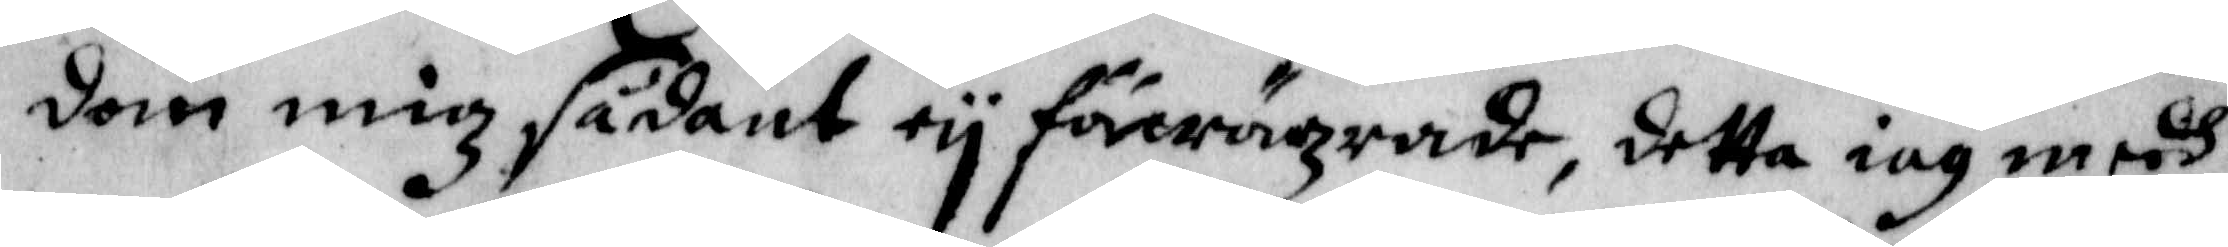dom mig sådant eij förwägrade, detta iag medh
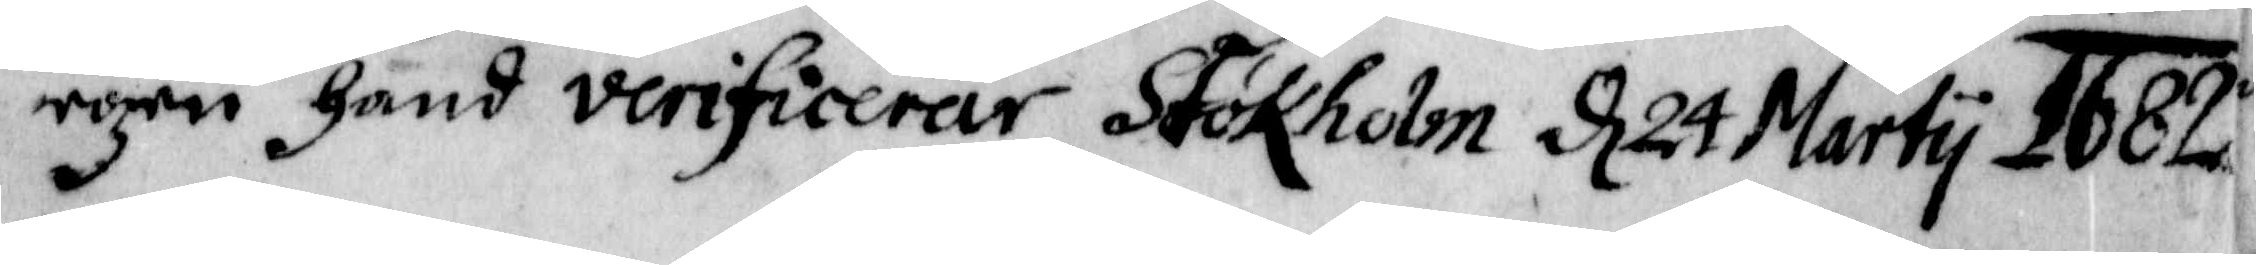egen hand verificerar Stokholm d. 24 Martij 1682
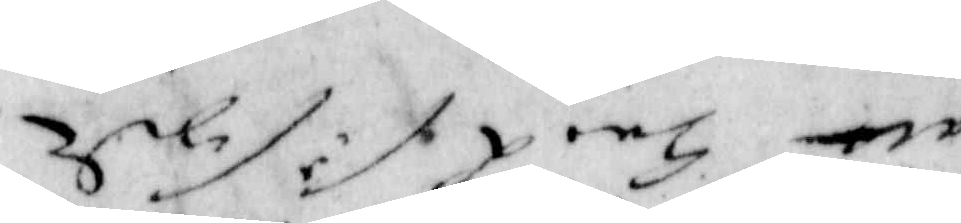... ... ... ...
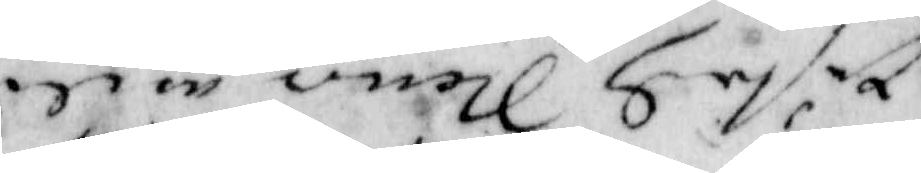... ... ... ...
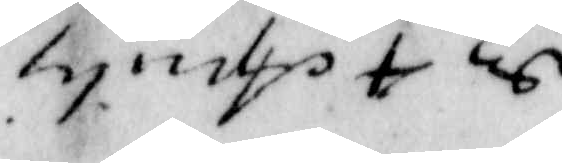... . ..
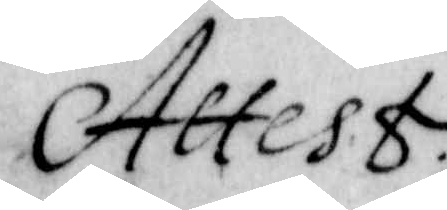Attest
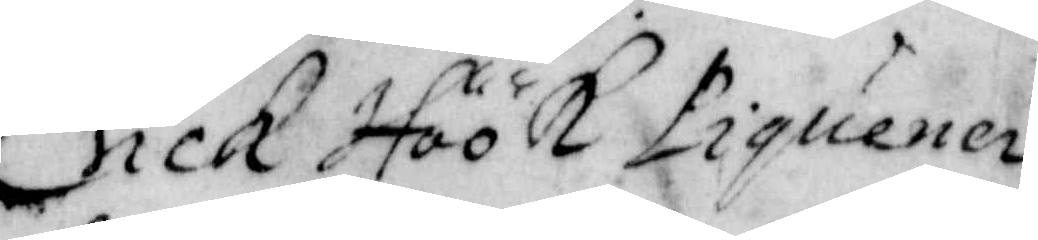Erick Höök Piquener¬
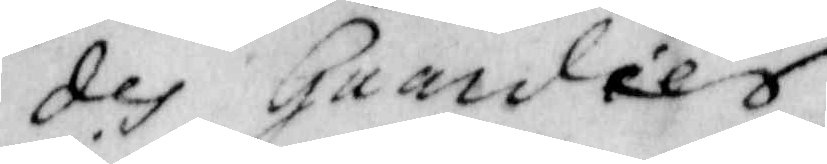des Guardies.
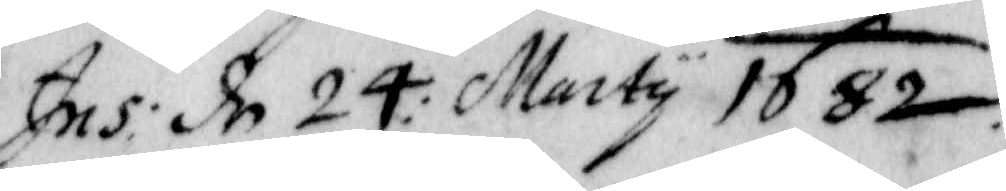Ins: In 24: Marty 1682
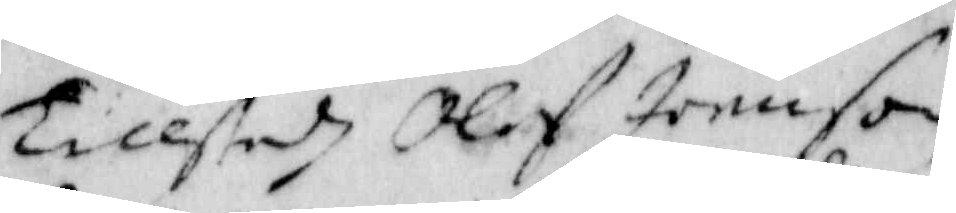Tilstodh Olof Joenson
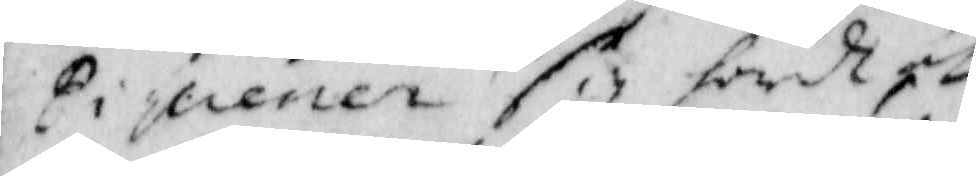Piquenen sig hwadh ..
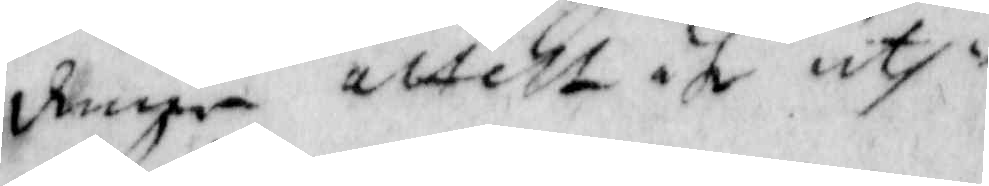denna attest åth uth¬
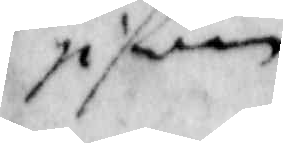gifwen.
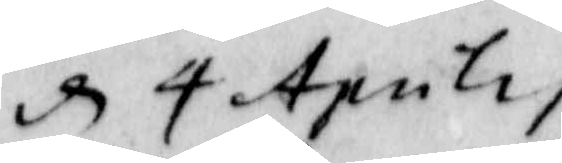d 4 Aprilis
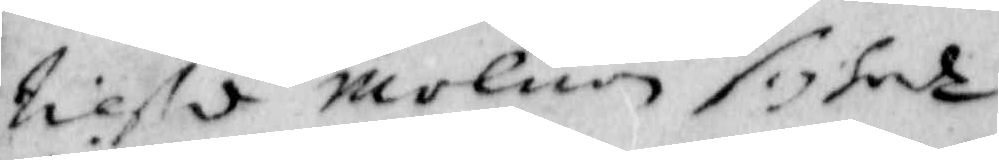Niels Molnon sif sade
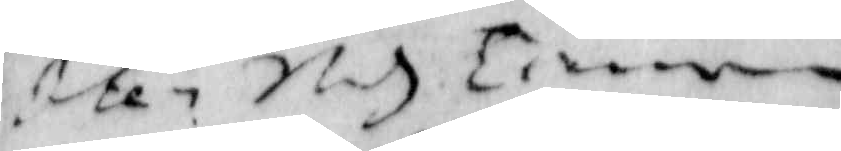Item ... Tienar
